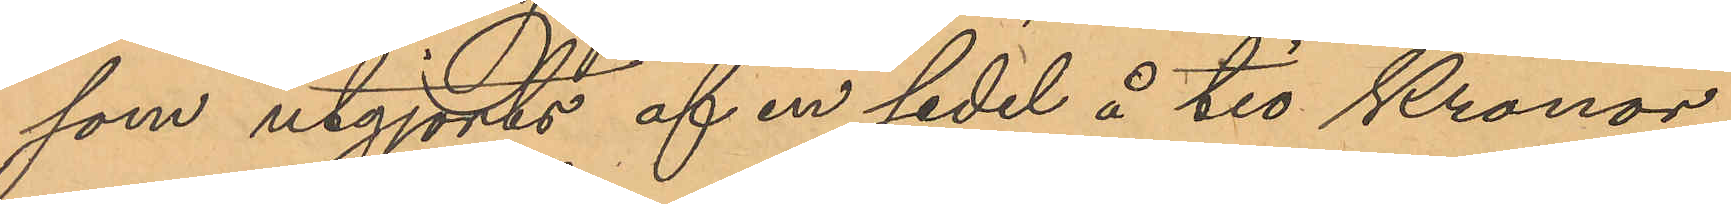som utgjorts af en sedel å tio Kronor,
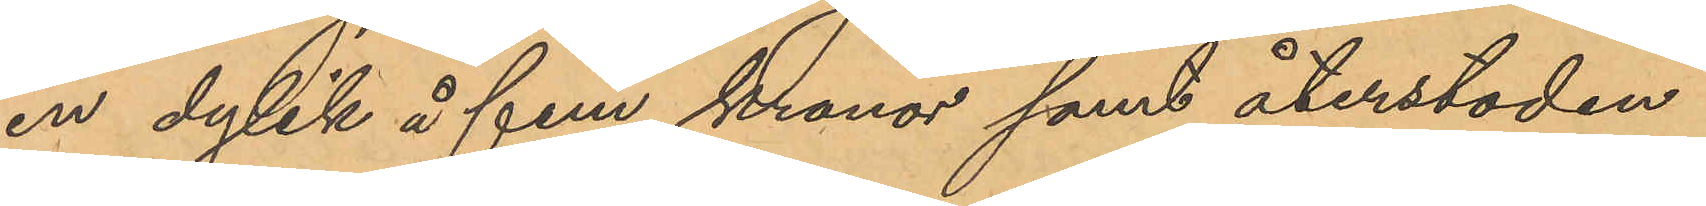en dylik å fem kronor samt återstoden
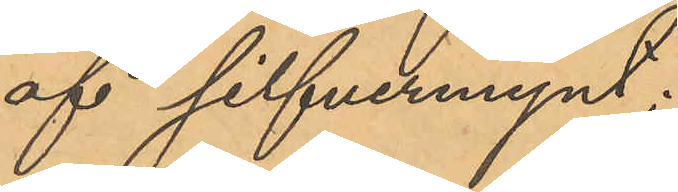af silfvermynt;
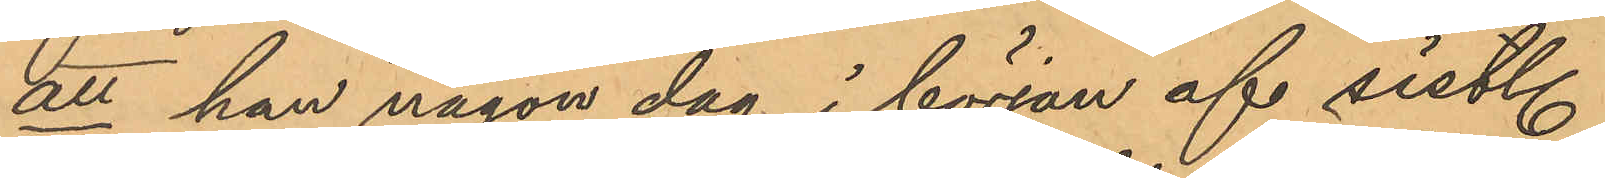att han någon dag i början af sistl.
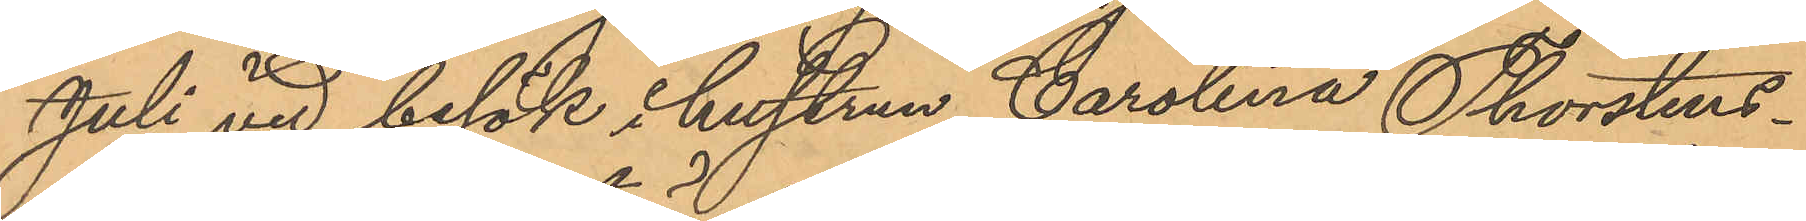Juli vid besök i hustrun Carolina Thorstens¬
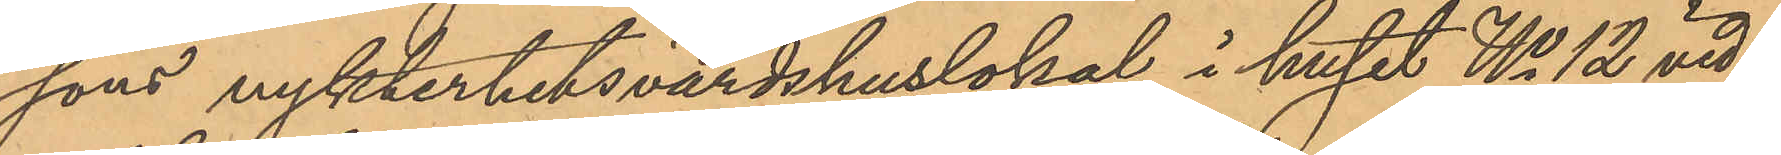sons nykterhetsvärdshuslokal i huset No 12 vid
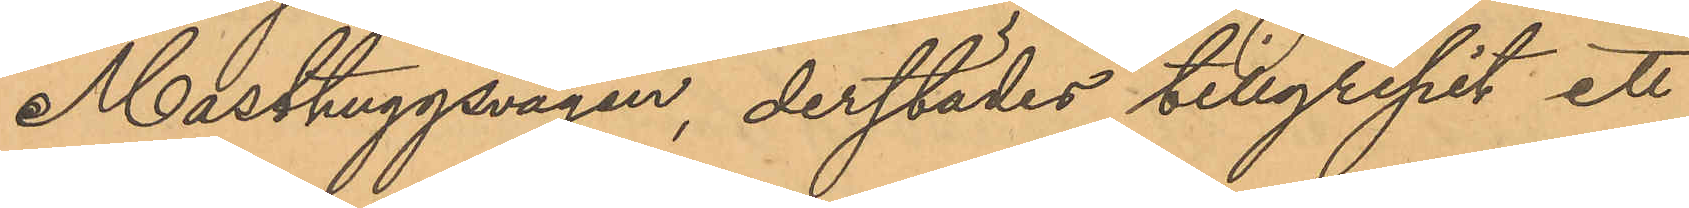Masthuggsvägen, derstädes tillgripit ett
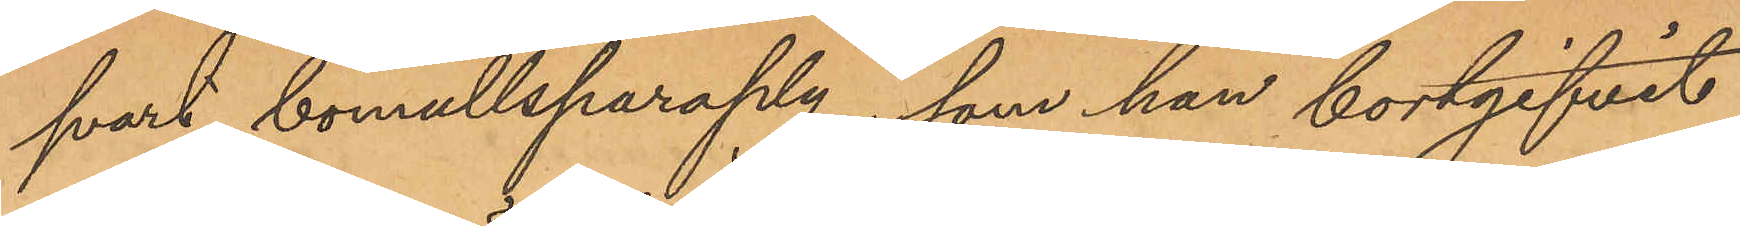svart bomullsparaply, som han bortgifvit
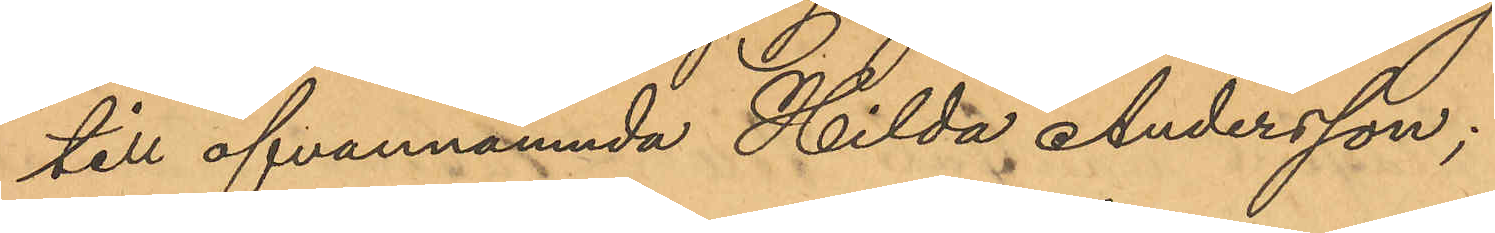till ofvannämnda Hilda Andersson;
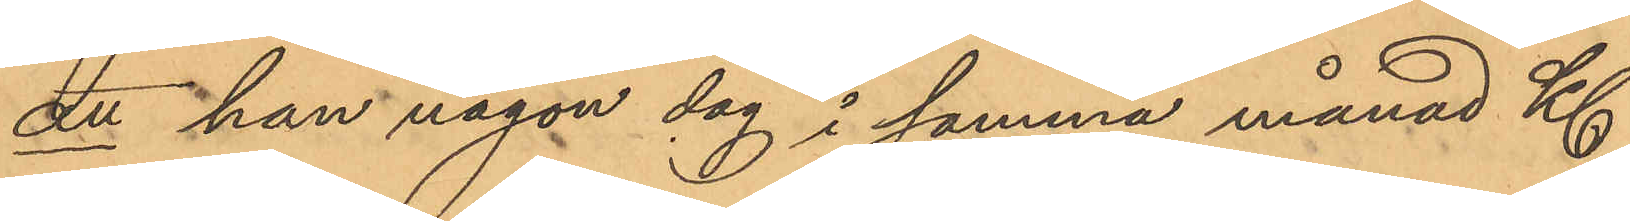att han någon dag i samma månad Kl.
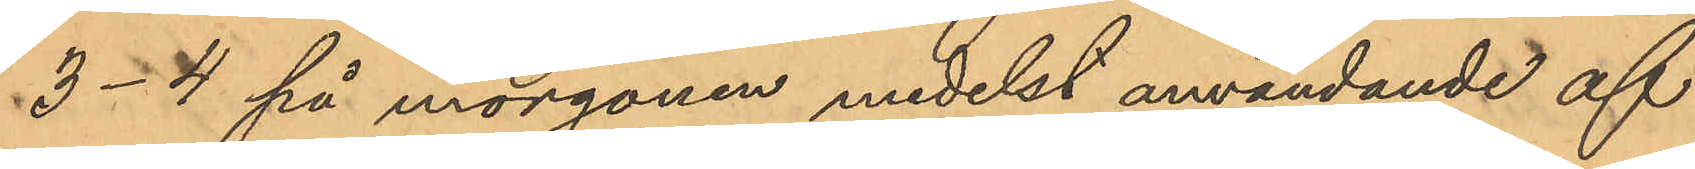3-4 på morgonen medelst användande af
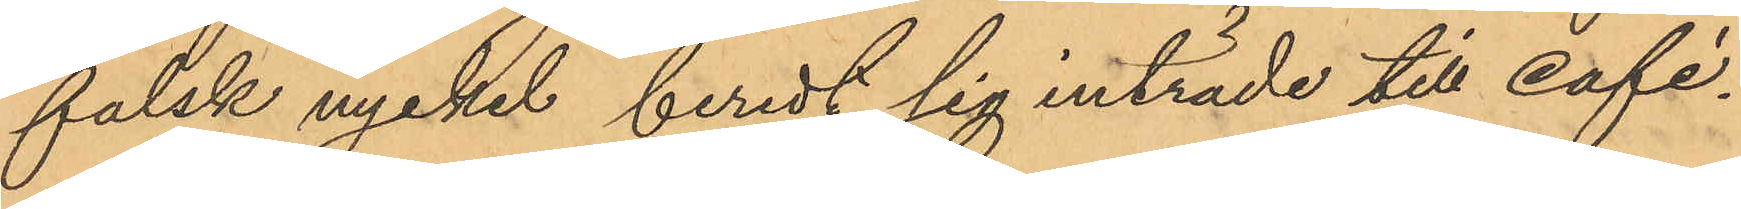falsk nyckel beredt sig inträde till café¬
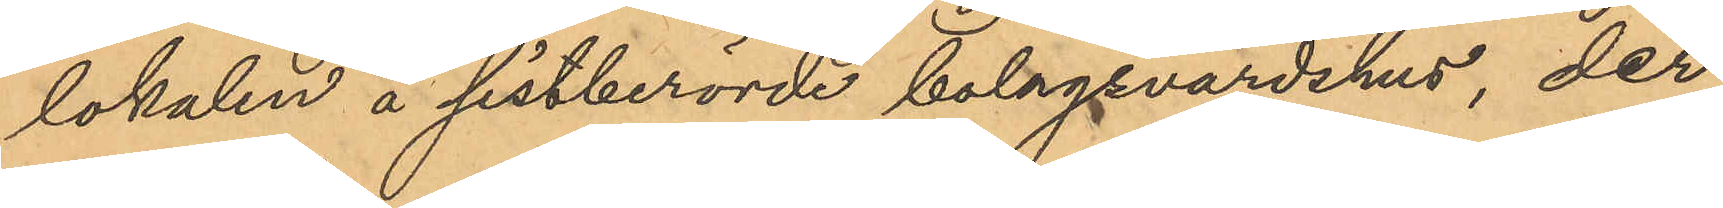lokalen å sistberörde bolagsvärdshus, der
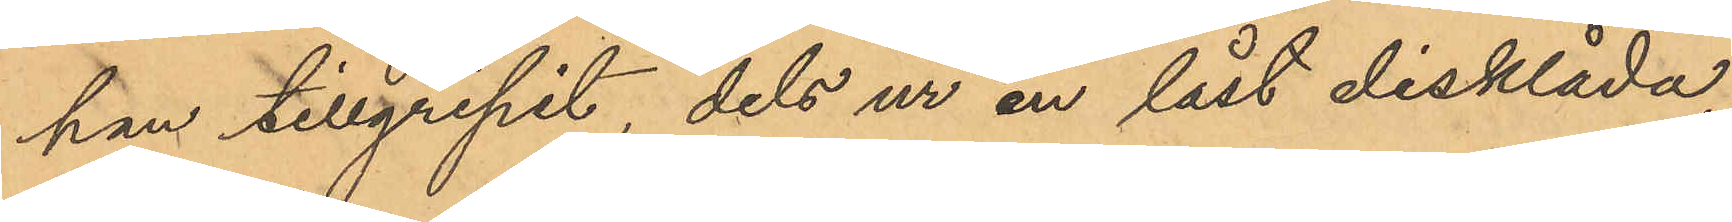han tillgripit, dels ur en låst disklåda,
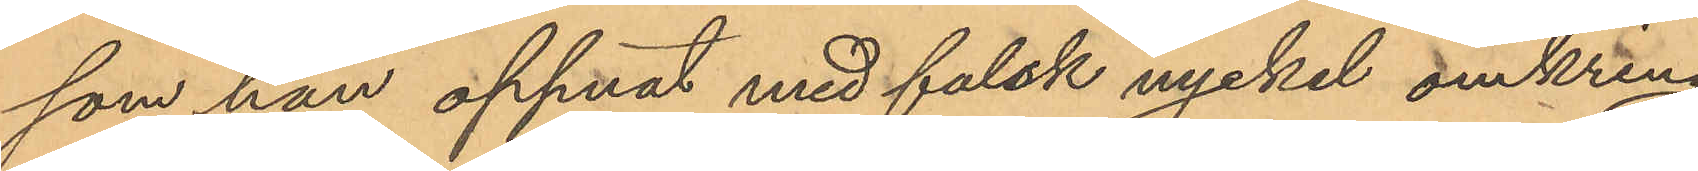som han öppnat med falsk nyckel omkring
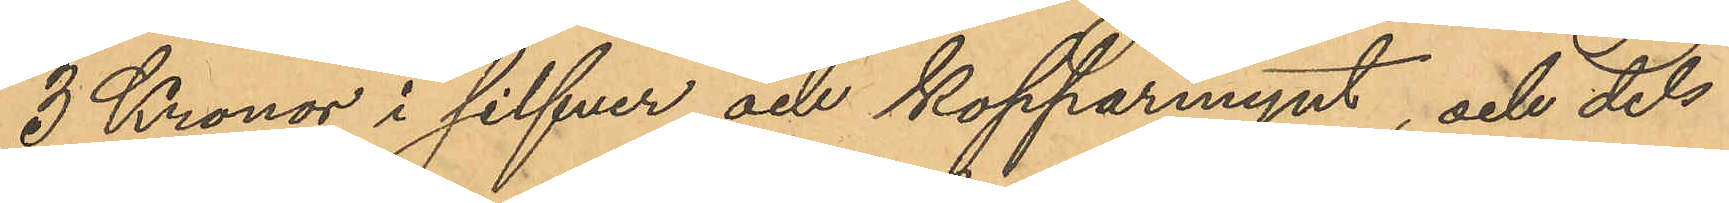3 Kronor i silfver och kopparmynt, och dels
